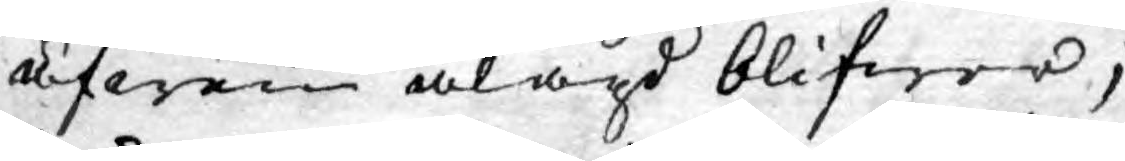äfwen ålagd blifwer;
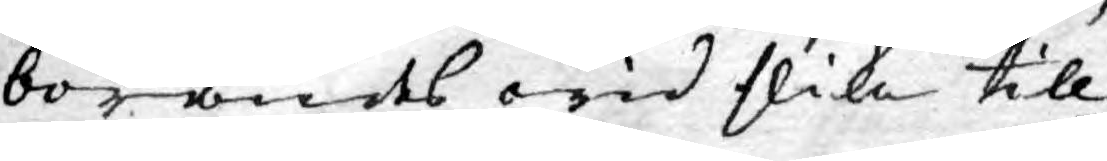börandes wid slika till¬
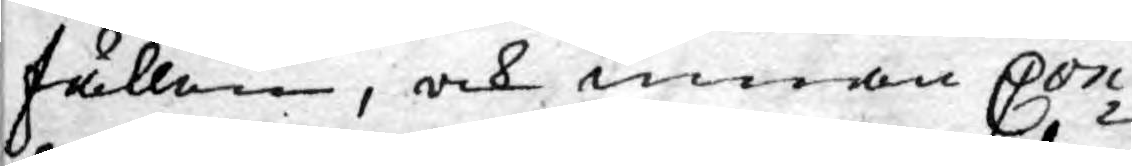fällen, och innan Con¬
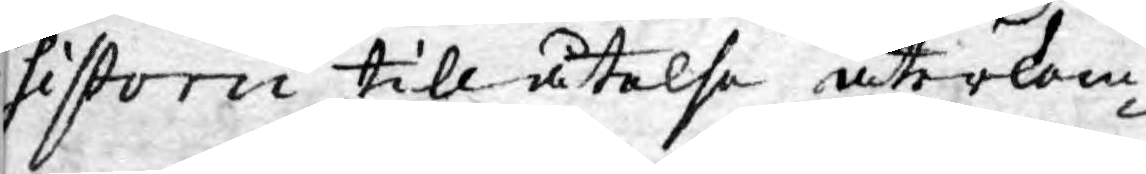sistorii tillåtelse återkom¬
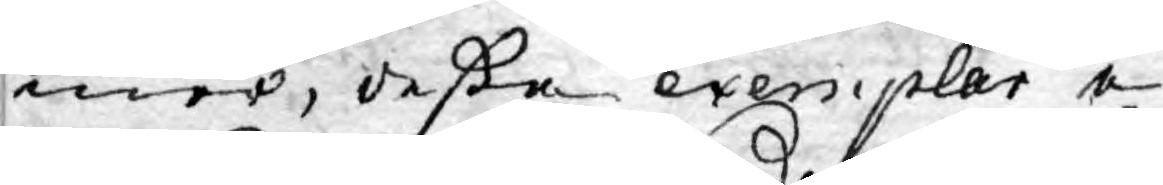mer, deßa exemplar e¬
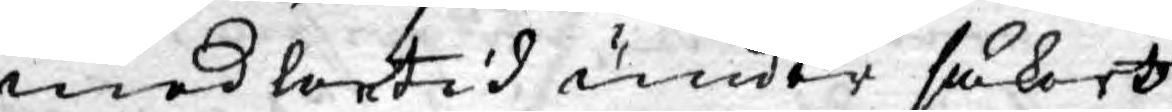medlertid under säkert
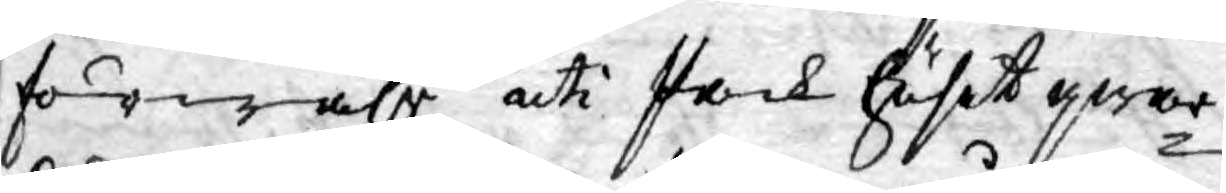förwahr uti Pack huset qwar¬
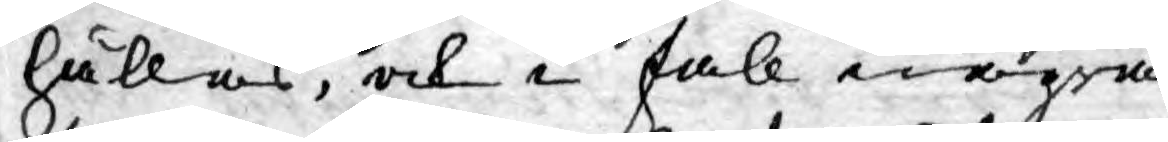hållas, och i fall några
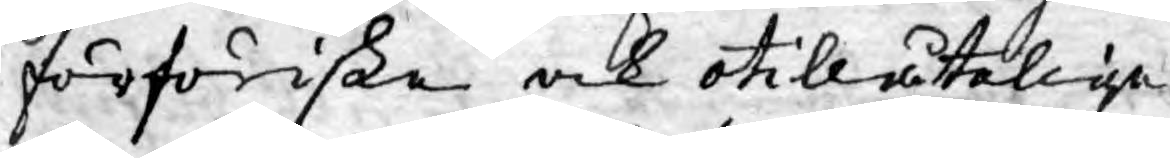förföriske och otillåtelige
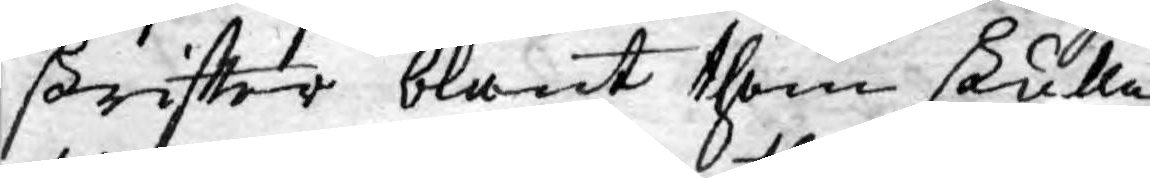skriftter blant them skulle
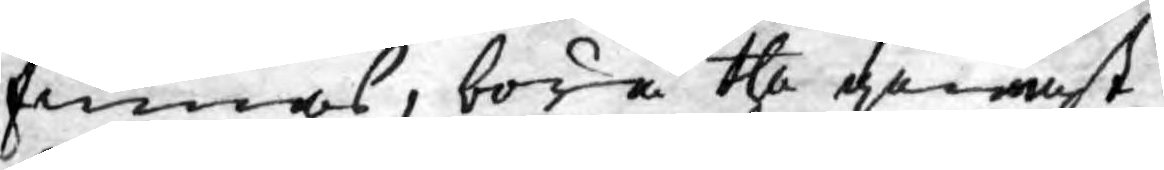finnas, böra the genast
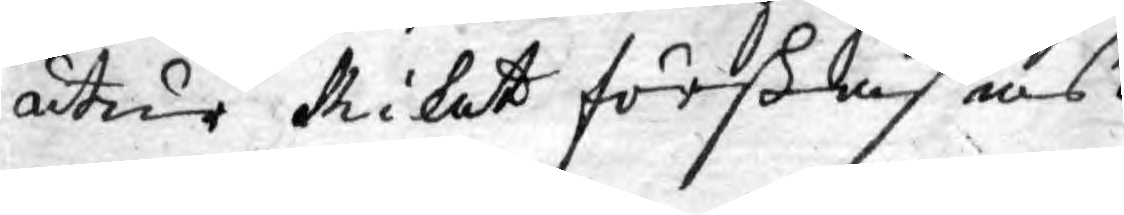utur Riket förskafas.
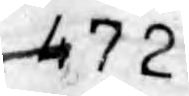472
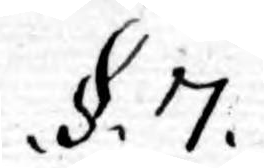.§. 7.
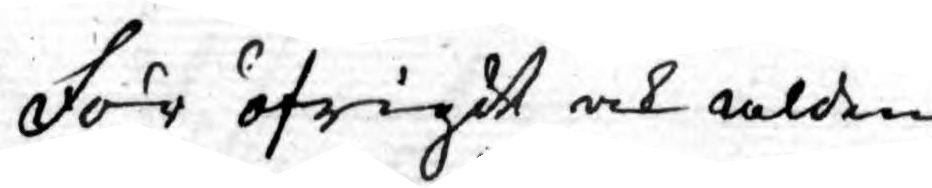För öfrigdt och alden¬
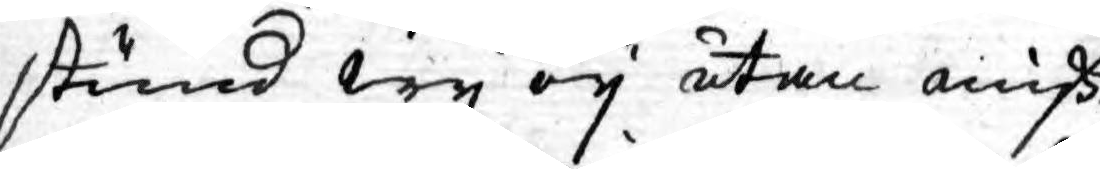stund wy ey utan miß¬
